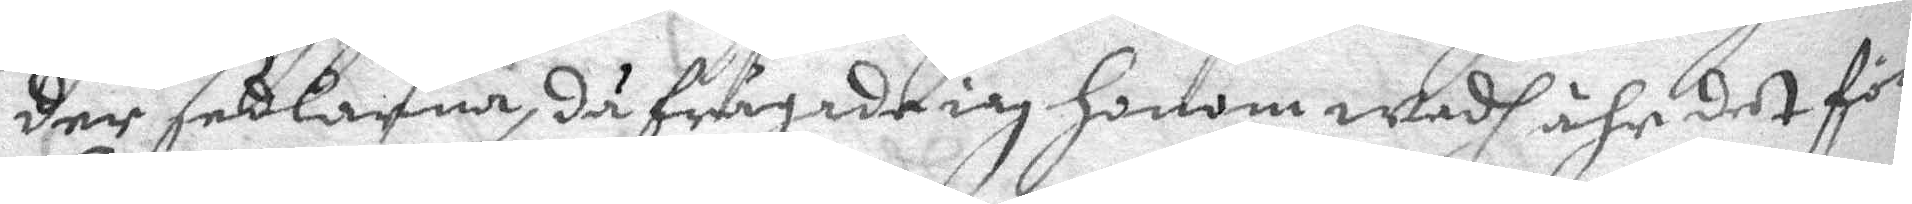der sedlarna, då frågade iag honom wadh ähr det för
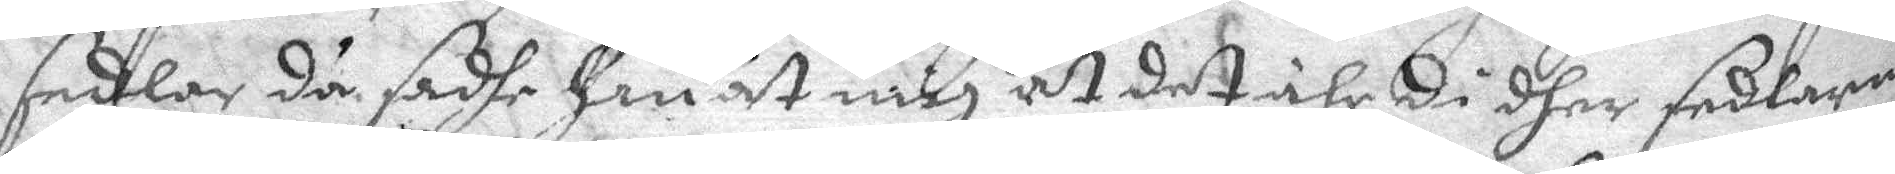sedlar då sadhe han åt mig at det ähr di dher sedlarna
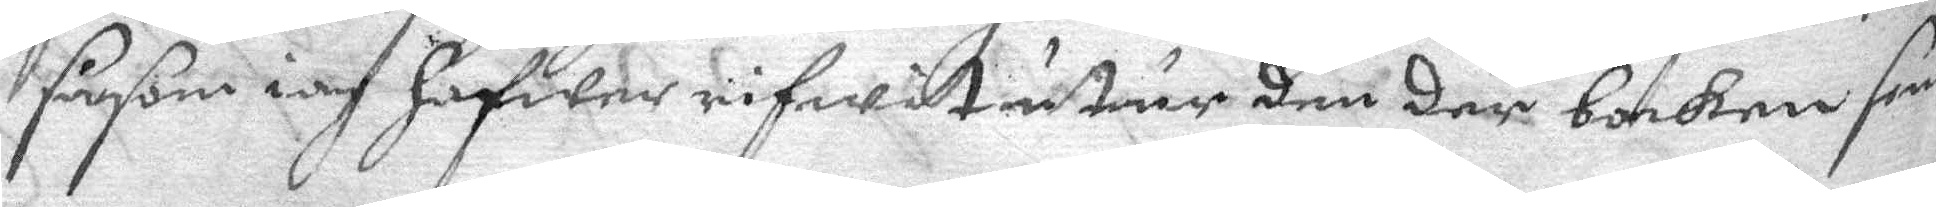såsom iag hafwer rifwit utur den der boken som
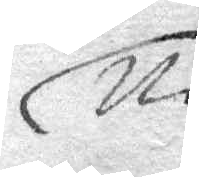Ni
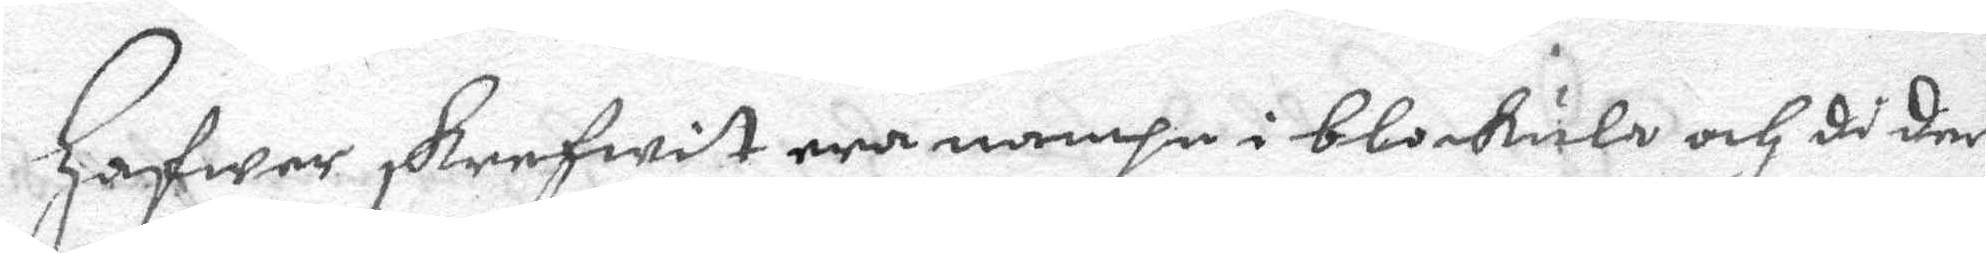hafwer skrefwit era namhn i blokula och di der
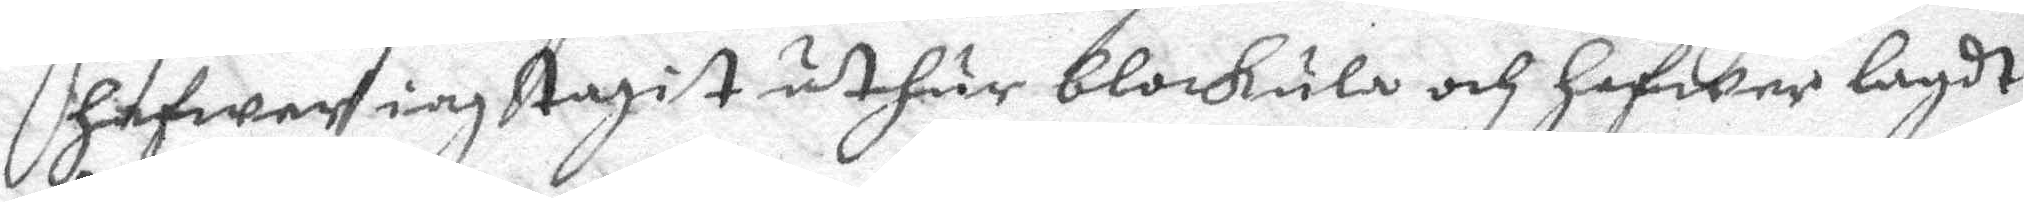hafwer iag tagit uthur blokula och hafwer lagdt
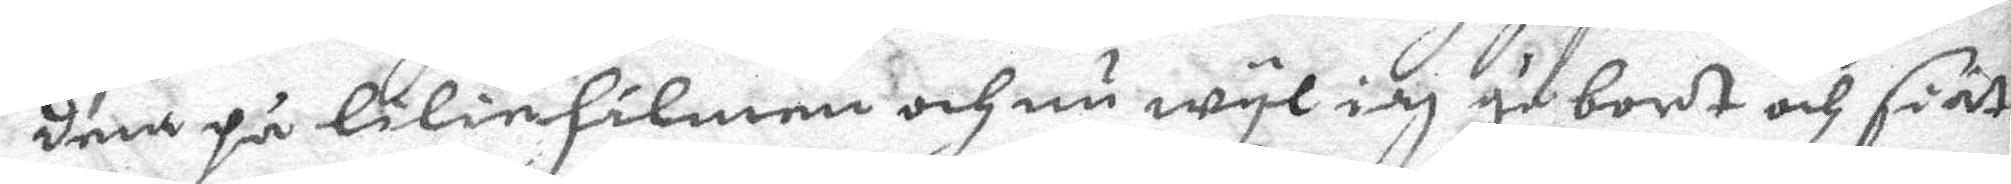dem på lilinhålmen och nu wyl iag ge bort och si at
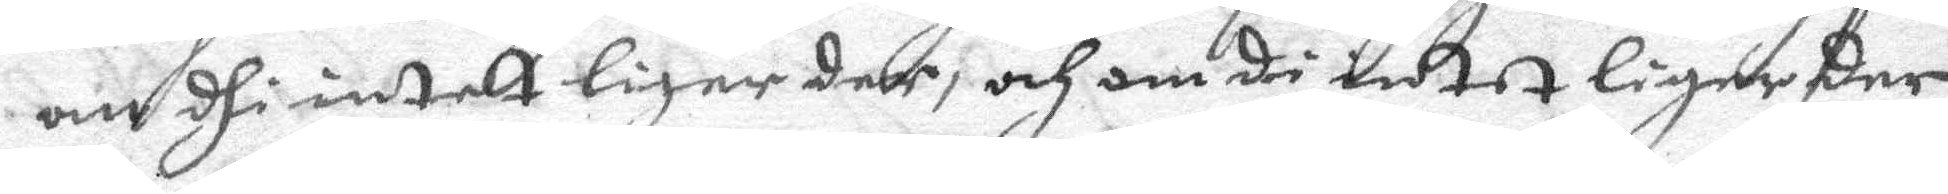om dhe intet liger der, och om di intet liger der
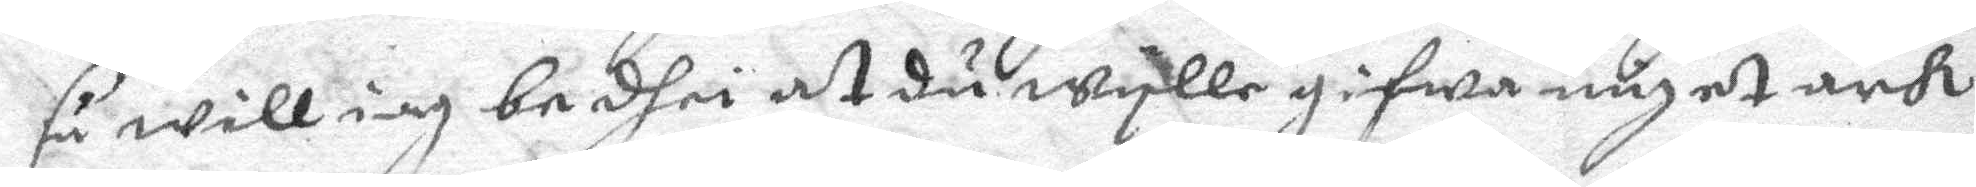så will iag bedhie at du wylle gifwa något ark
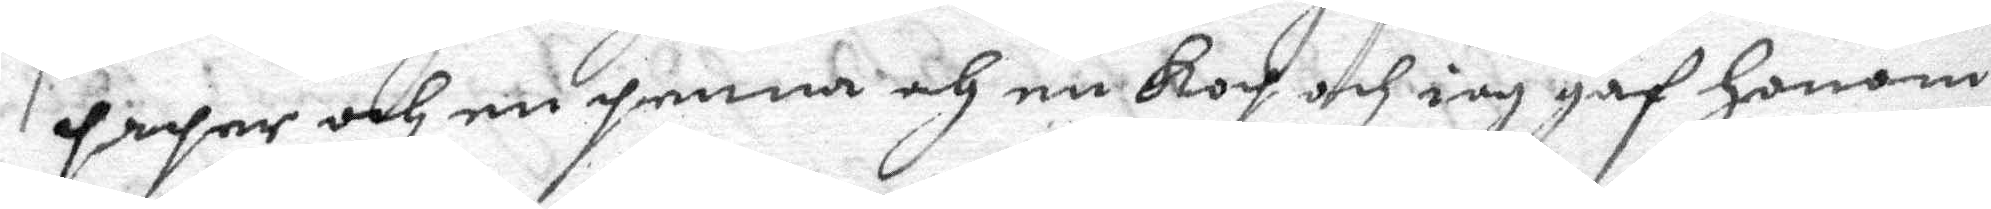paper och en penna och en kop och iag gaf honom
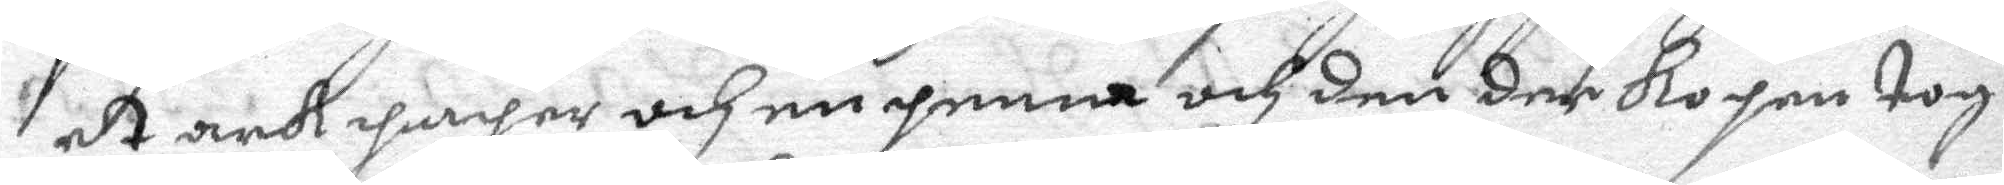et ark paper och en penna och den der kopen tog
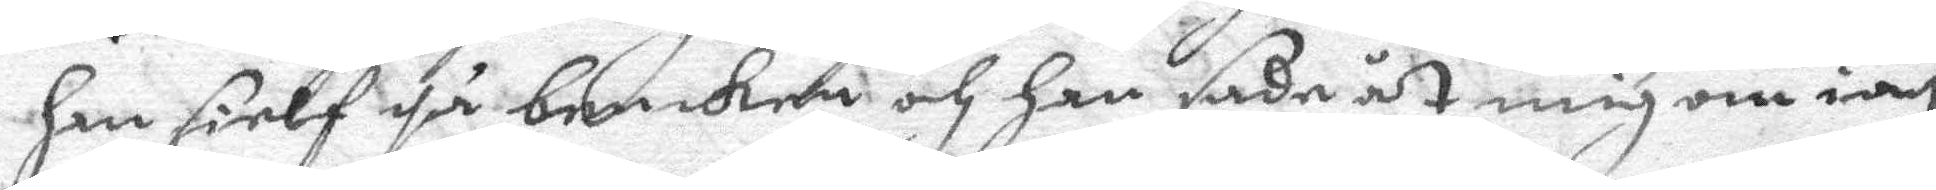han sielf på benken och han sade åt mig om iag
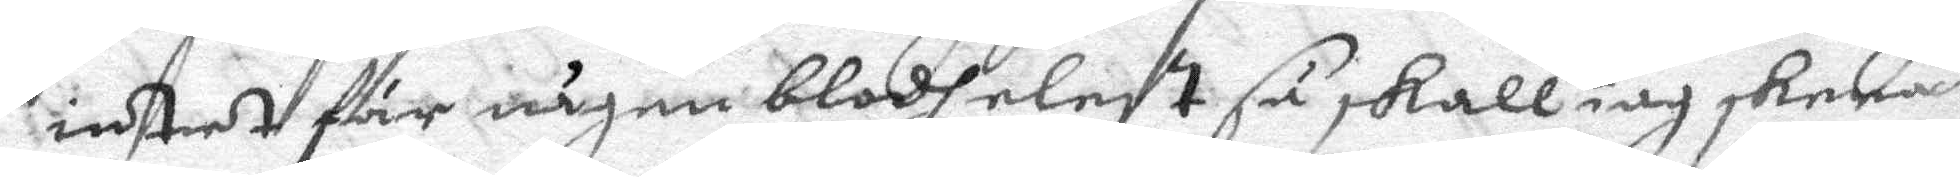intet för någon blodh elest så skall iag skera
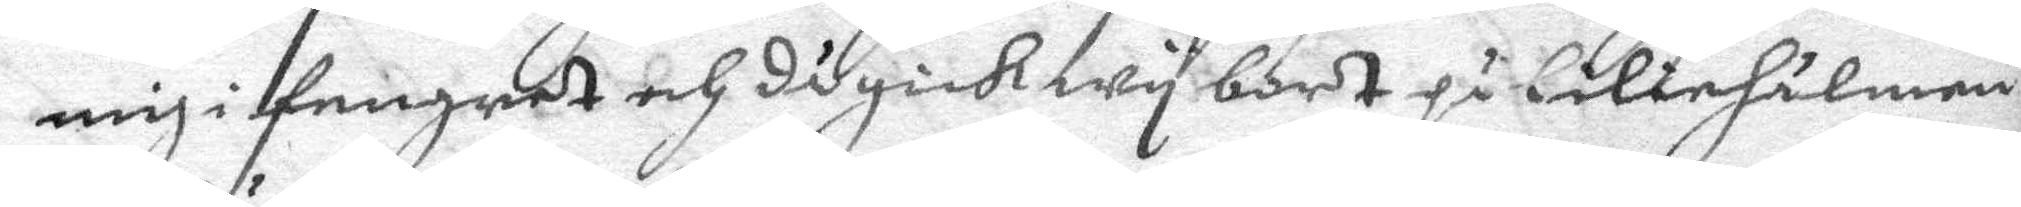mig i fingret och då gick wy bort på liliehålmen
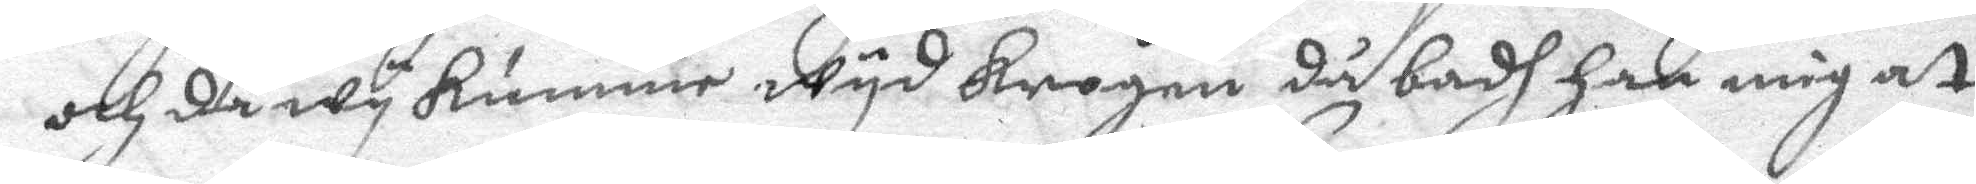och då wy kumme wyd krogen då badh han mig at
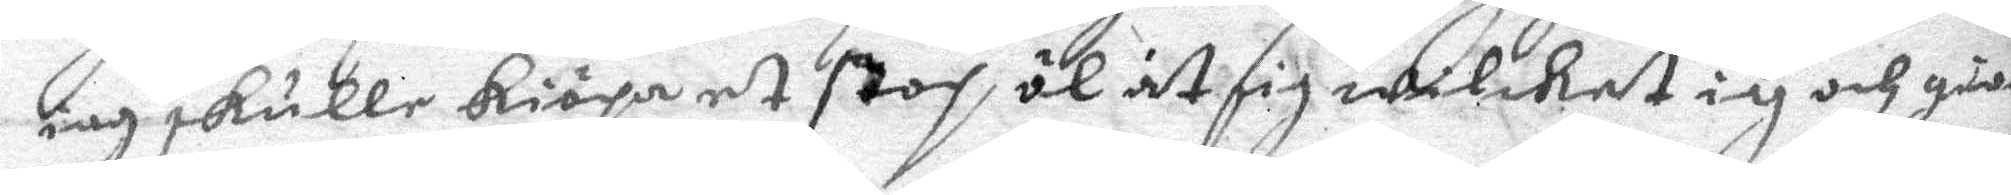iag skulle kiöpa et stop öl åt sig wilket iag och gio¬
